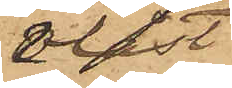olåst
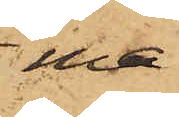ma¬
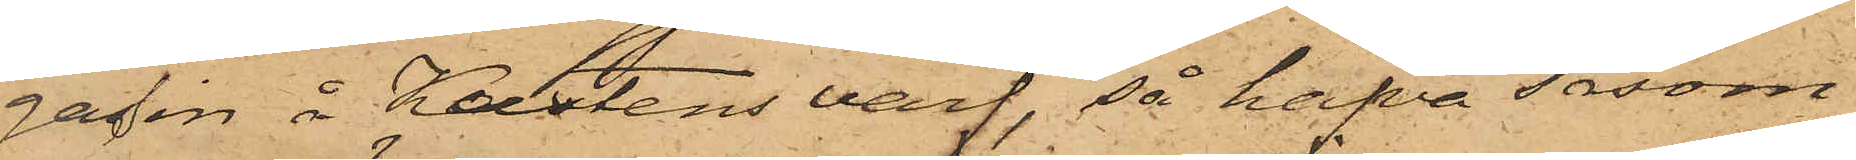gasin å Kustens varf, så hafva såsom
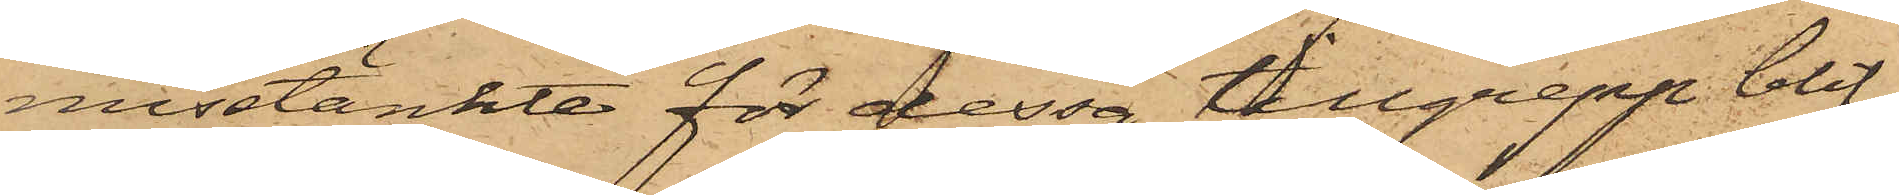misstänkte för dessa tillgrepp blif¬
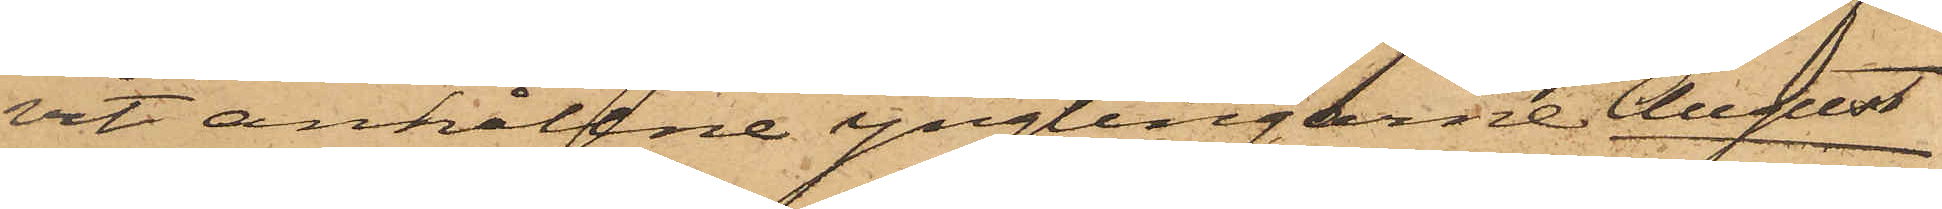vit anhållne ynglingarne August
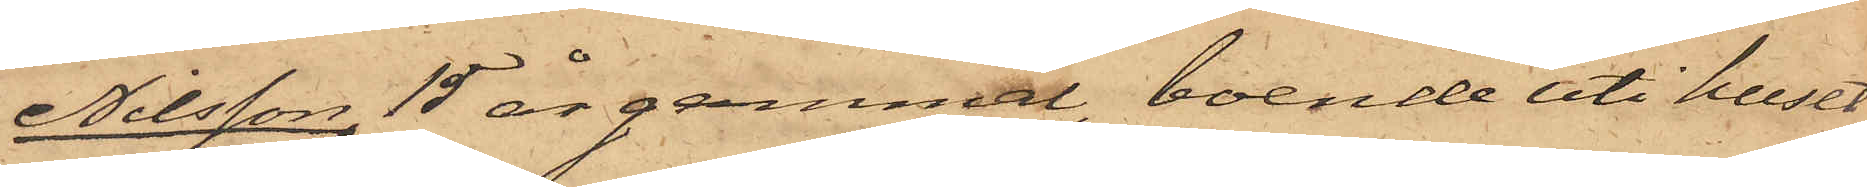Nilsson, 15 år gammal, boende uti huset
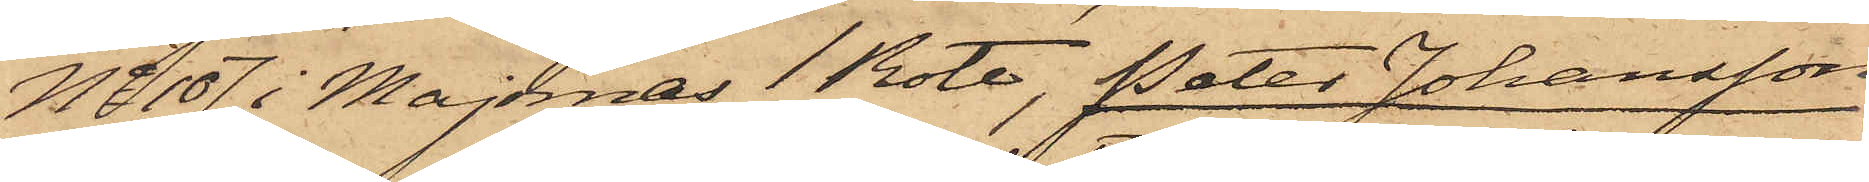No 107 i Majornas 1 Rote, Peter Johansson,
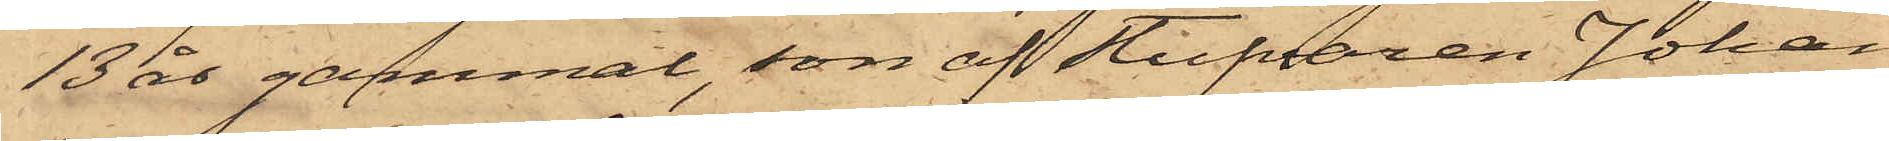13 år gammal, son af Stufvaren Johan
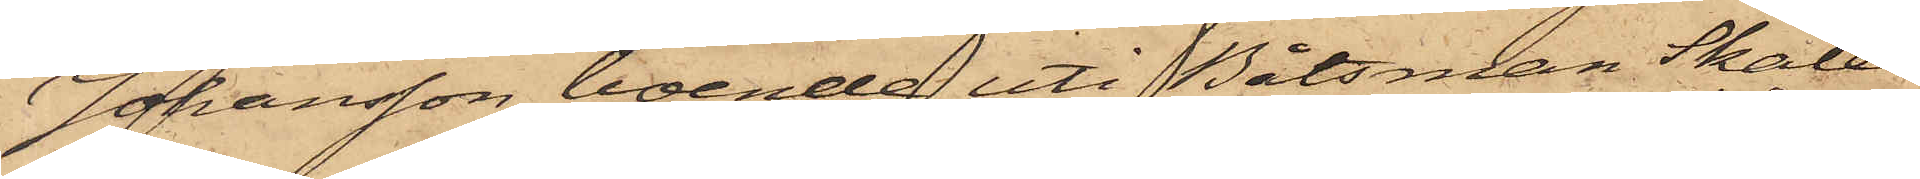Johansson, boende uti Båtsman Skales
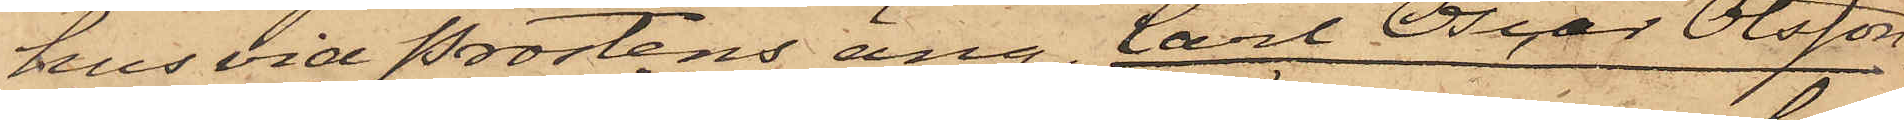hus vid Prostens äng, Carl Oscar Olsson,
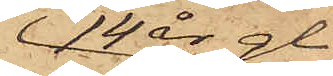14 år gl.
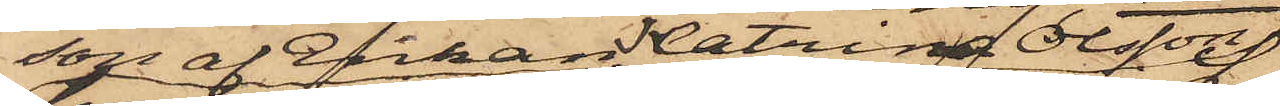son af Enkan Katrina Olsson
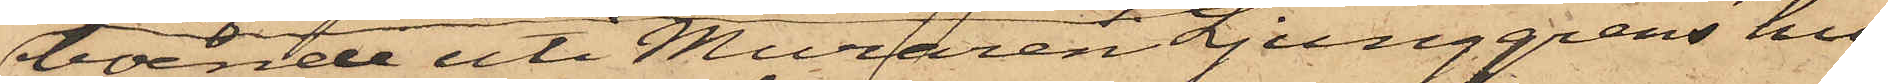boende uti Muraren Ljunggrens hus
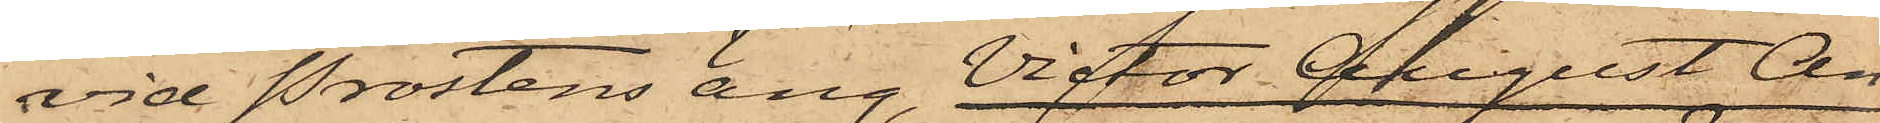vid Prostens äng, Victor August An¬
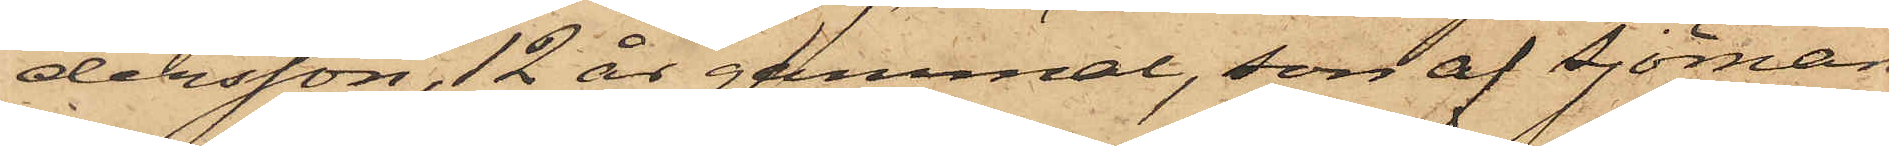dersson,12 år gammal, son af Sjöman¬
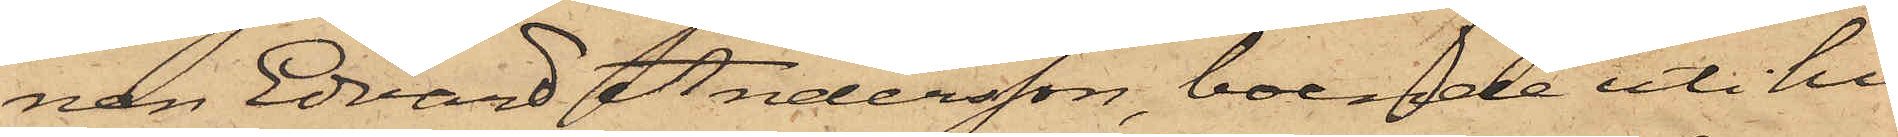nen Edvard Andersson, boende uti hu¬
